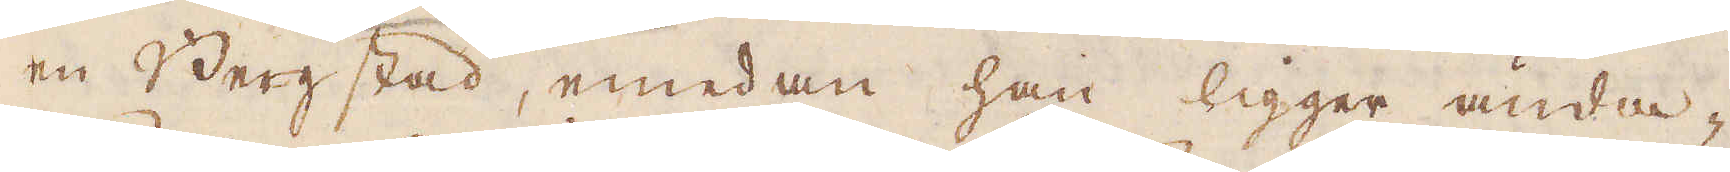en Bergstad, emedan han ligger ända-
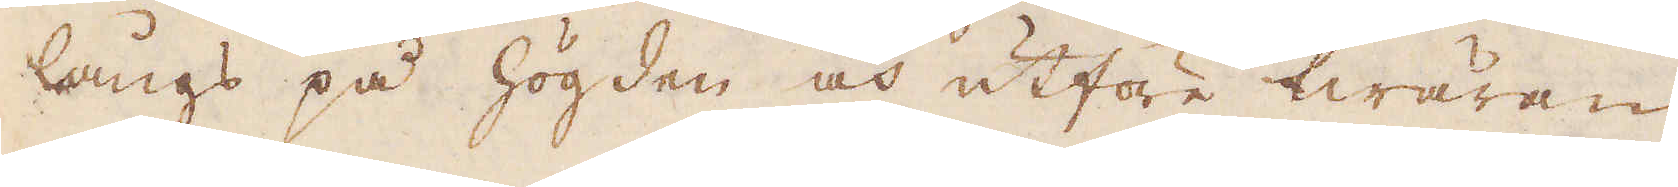långs på högden och utföre twäran
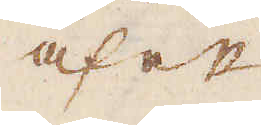af ett
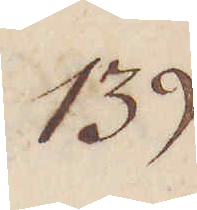139.
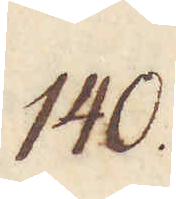140.
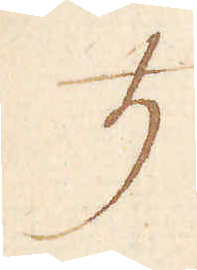♄
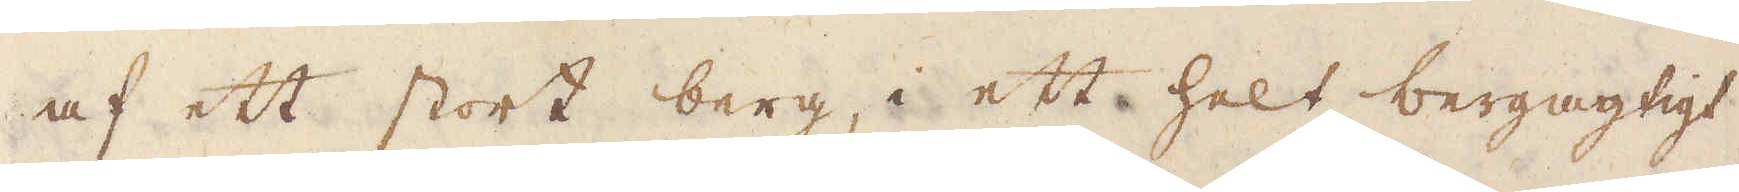af ett stort berg, i ett helt bergagtigt
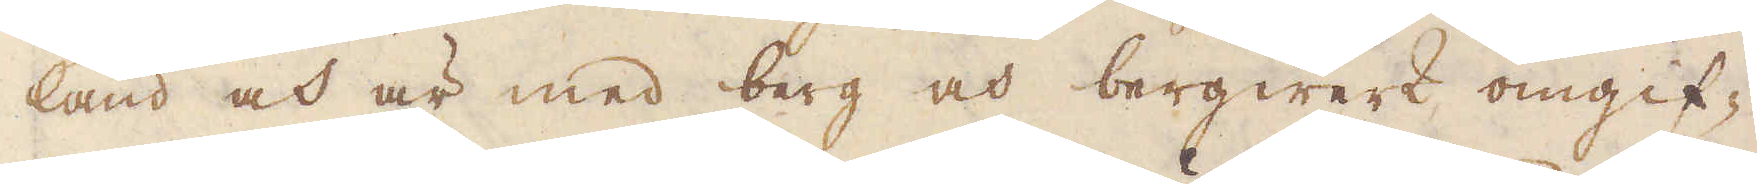land och är med berg och bergwerk omgif-
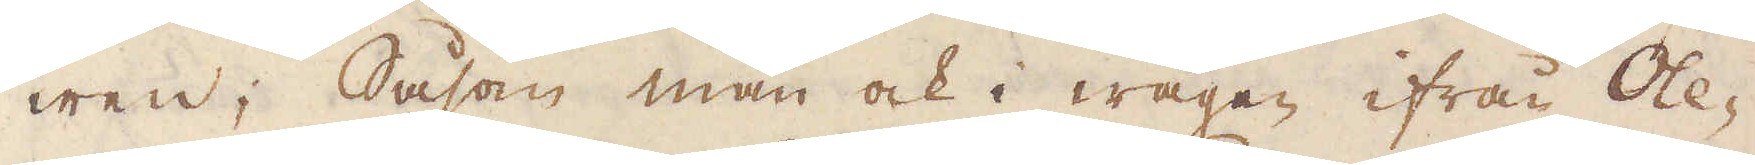wen; Såsom man ock i wägen ifrån Ole-
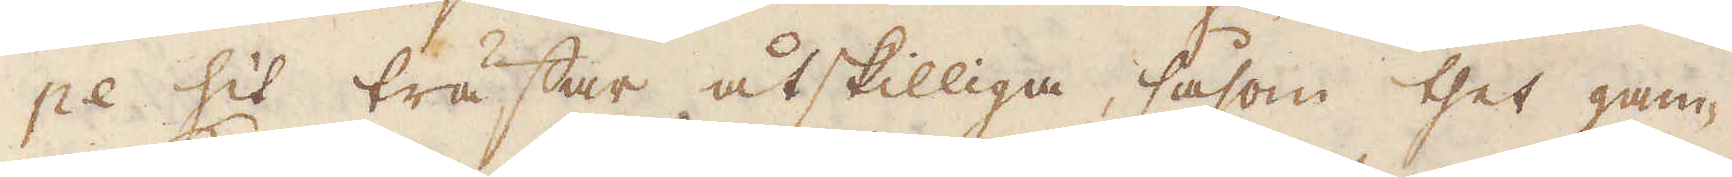pe hit wästar åtskilliga, såsom thet gam-
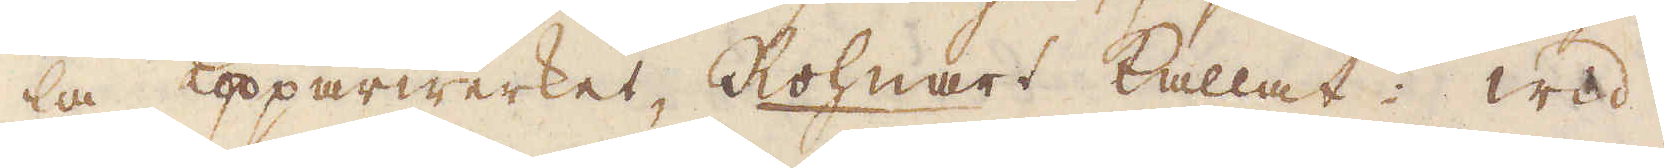la Kopparwerket, Rolnart kallat:. wid
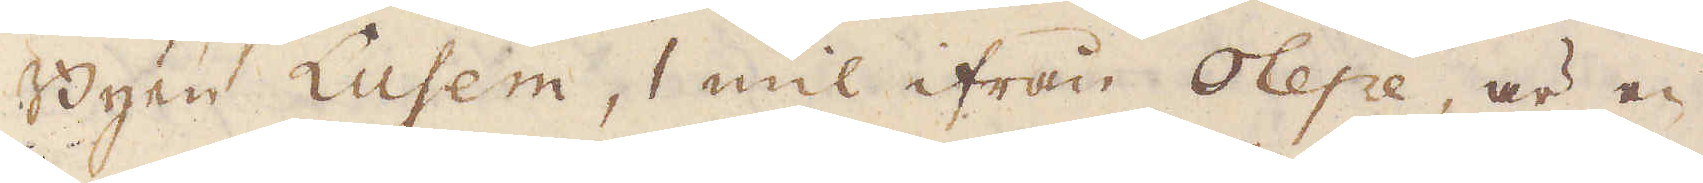Byen Lusem, 1 mil ifrån Olepe, är en
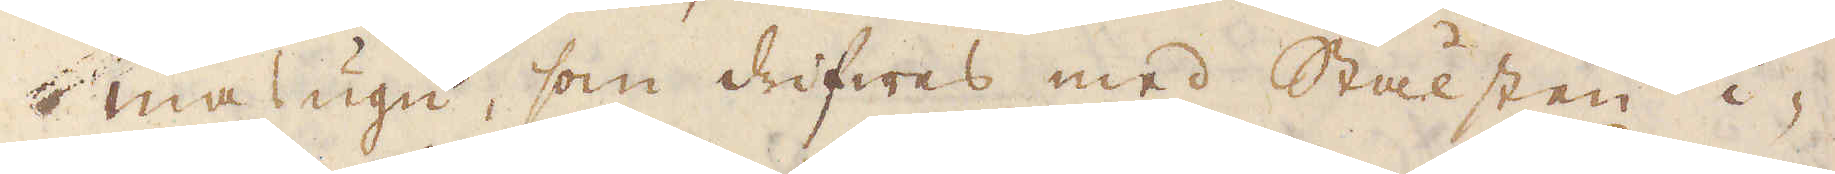masugn, som drifwes med Stälsten i-
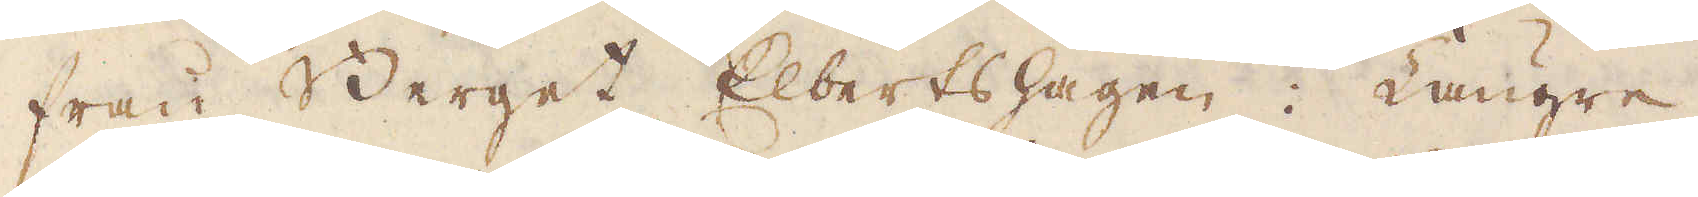från Berget Elbertslagen. Längre
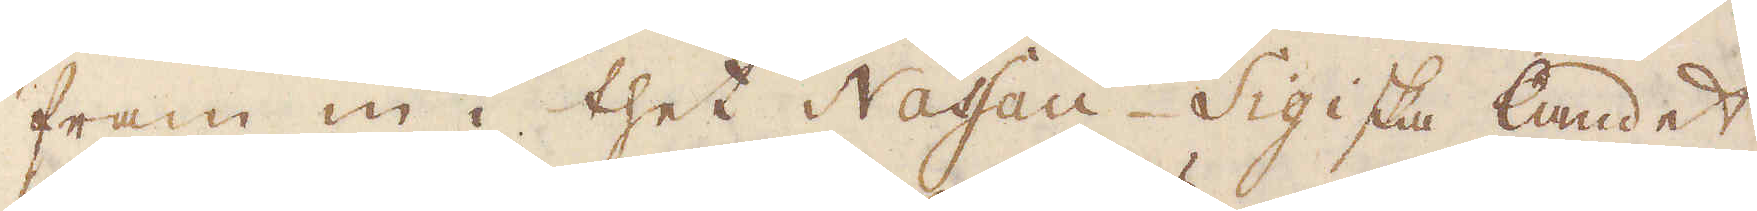fram in i thet Nassau-Sigiska landet,
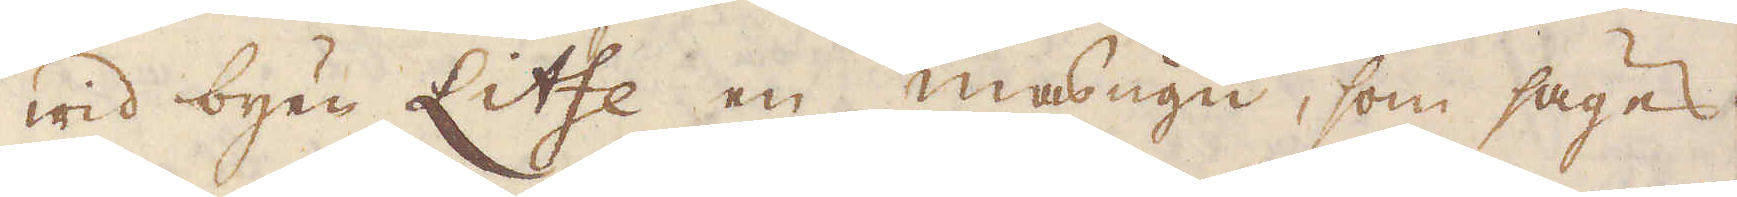wid byen Litfe en masugn, som säges,
